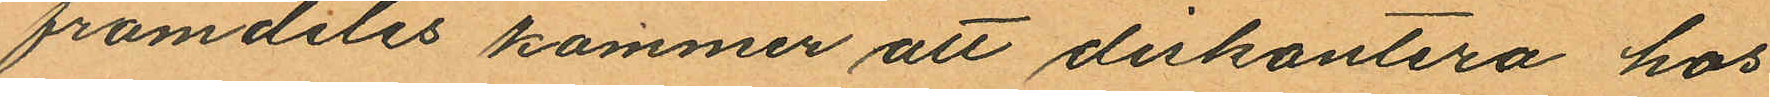framdeles kommer att diskontera hos
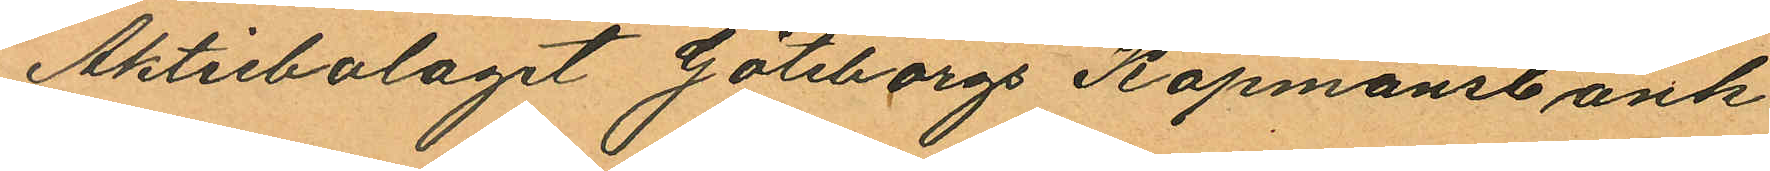Aktiebolaget Göteborgs Köpmansbank
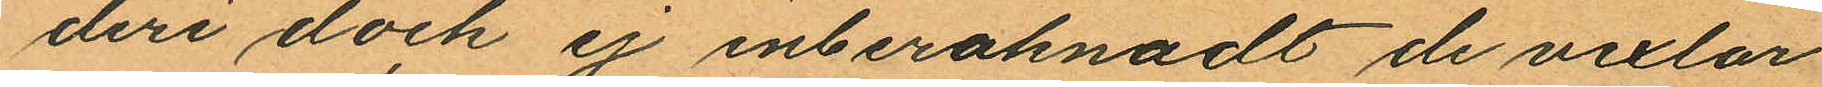deri dock är inberaknadt de vexlar
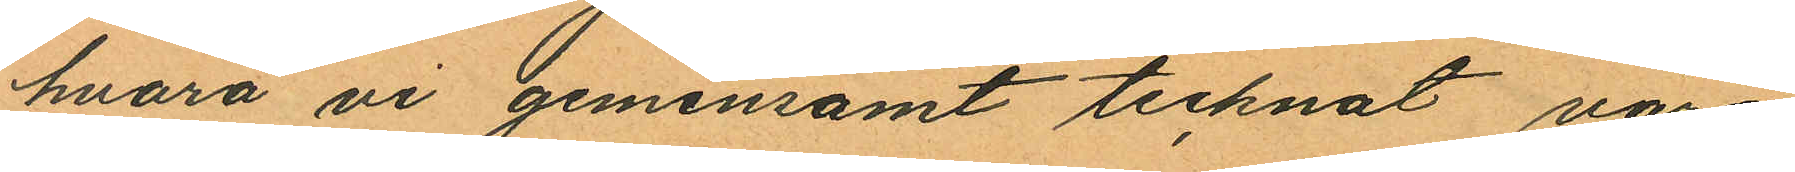hvara vi gemensamt tecknat våra
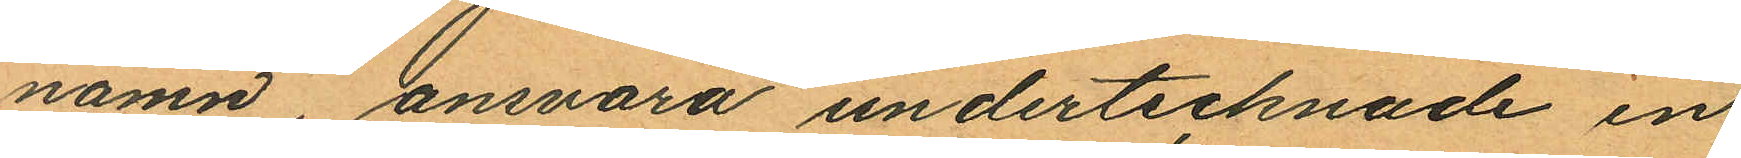namn ansvara undertecknade en
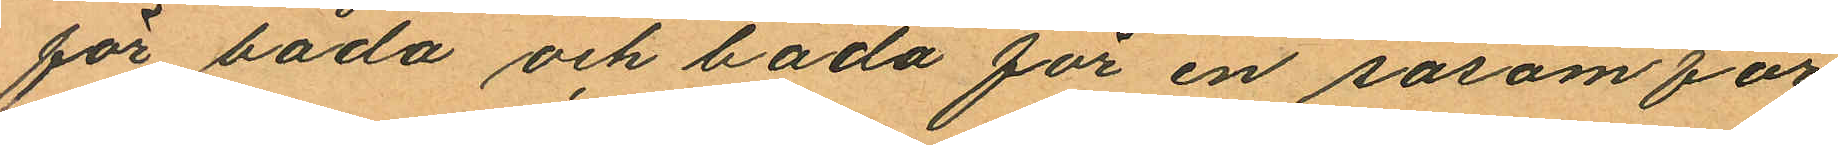för båda och båda för en sasom för
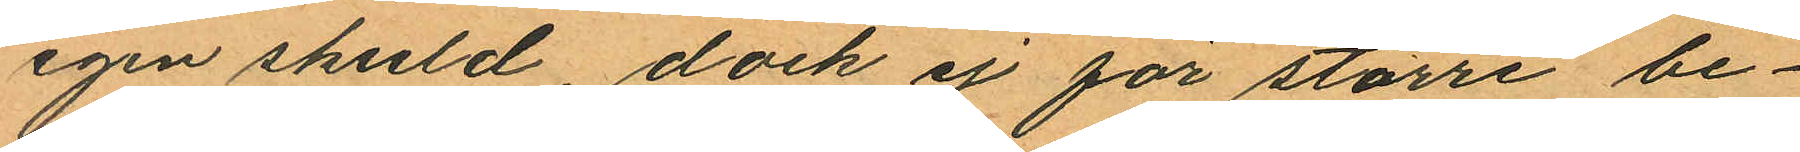egen skuld, dock ej för större be¬
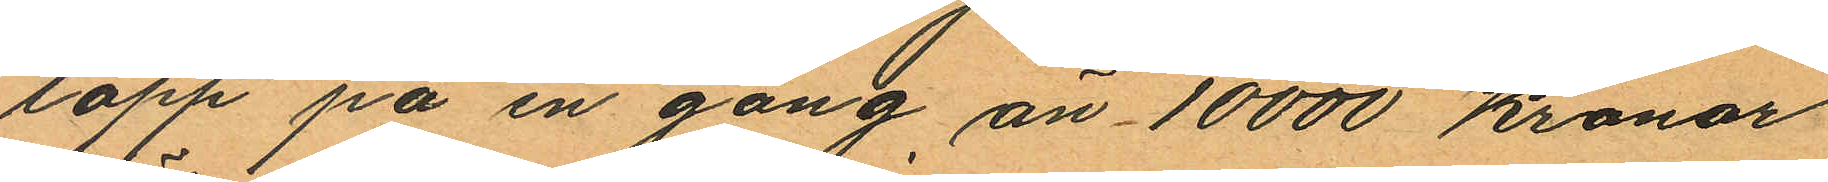lopp på en gång, än 10000 Kronor
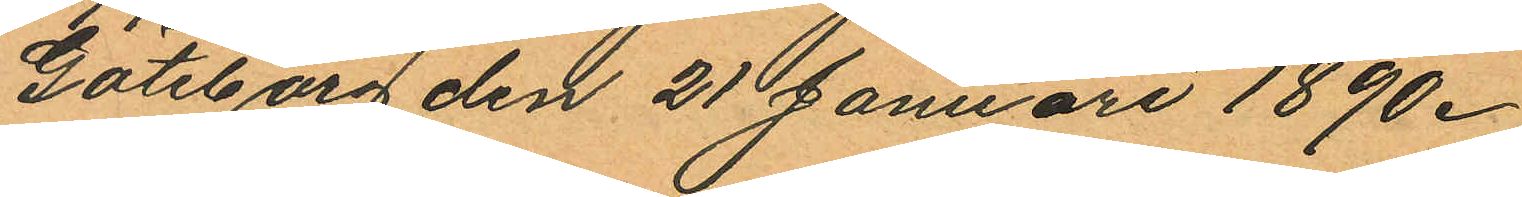Göteborg den 21 Januari 1890.
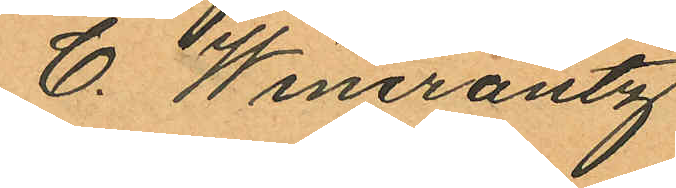C. Wincrantz
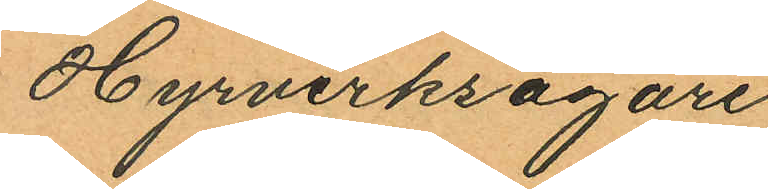Hyrverksägare
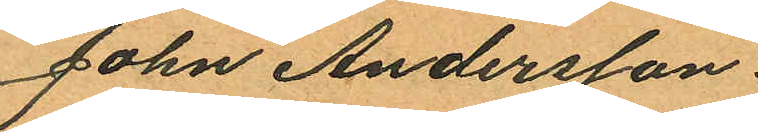John Andersson.
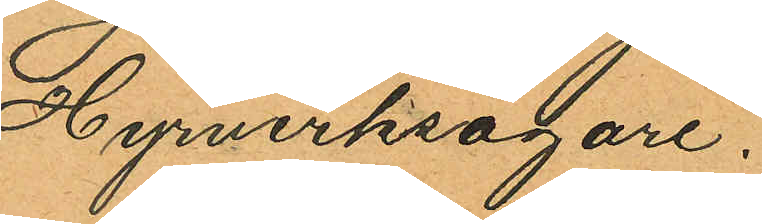Hyrverksägare.
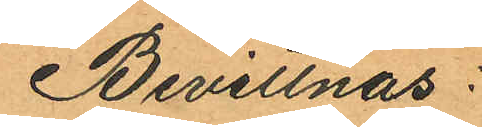Bevittnas:
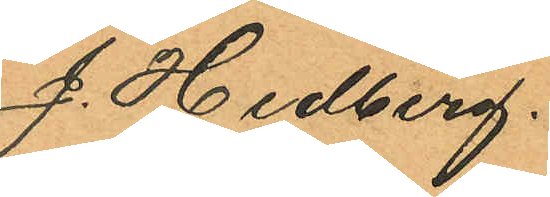J. Hedberg.
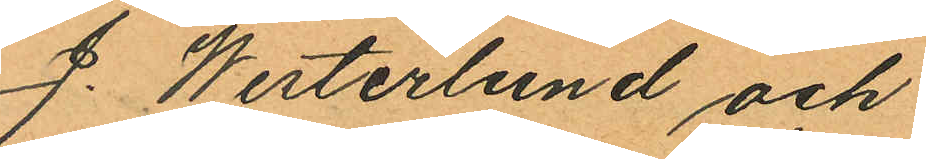J. Westerlund och
